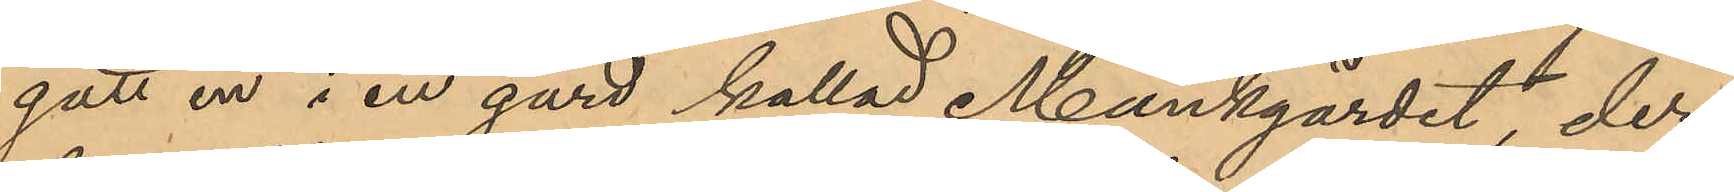gått in i en gård kallad Mankgärdet, der
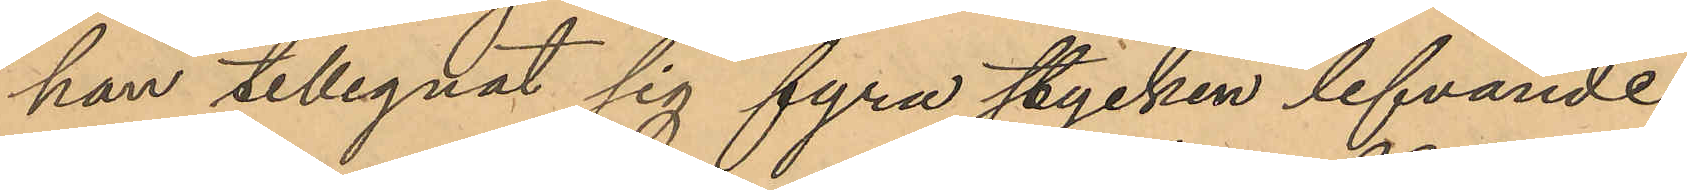han tillegnat sig fyra stycken lefvande
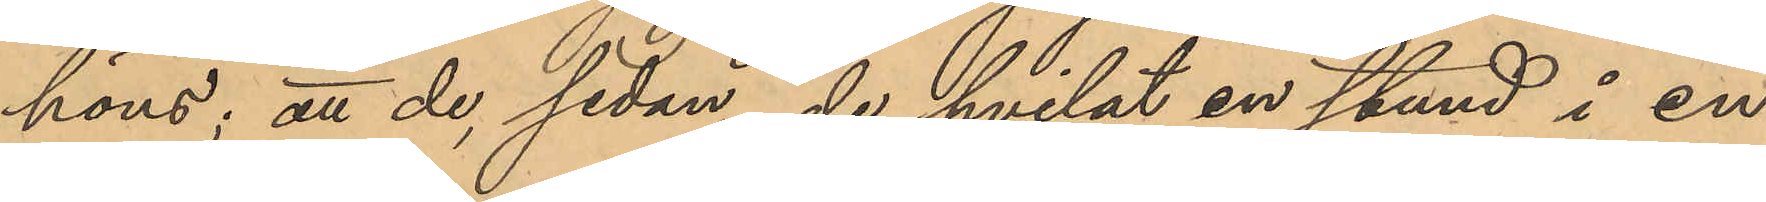höns; att de, sedan de hvilat en stund i en
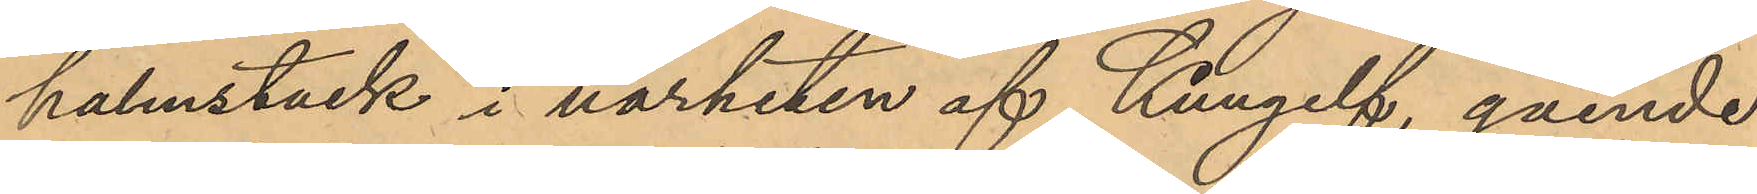halmstack i närheten af Kungelf, gående
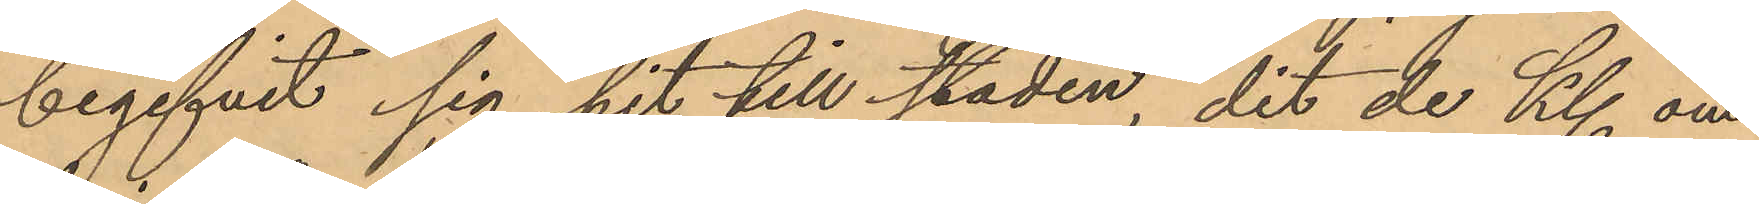begifvit sig hit till staden, dit de Kl. om¬
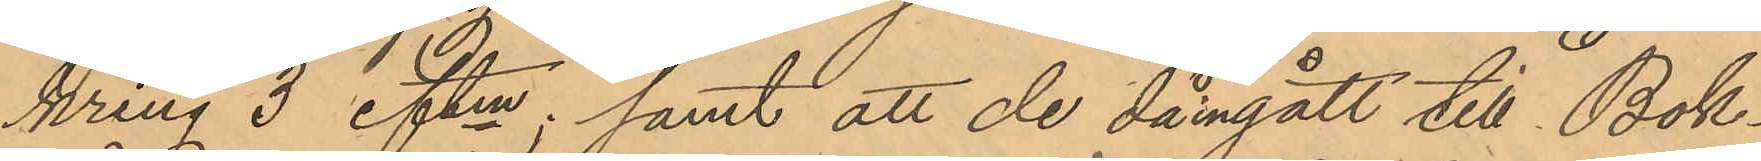kring 3 eftm; samt att de då ingått till Bok¬
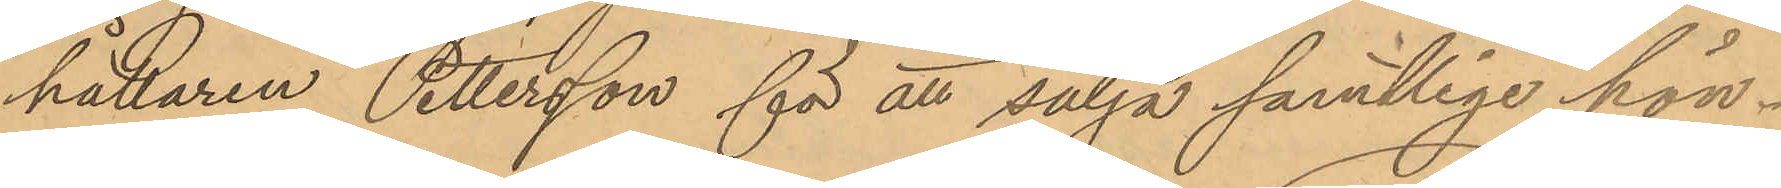hållaren Pettersson för att sälja samtlige hön¬
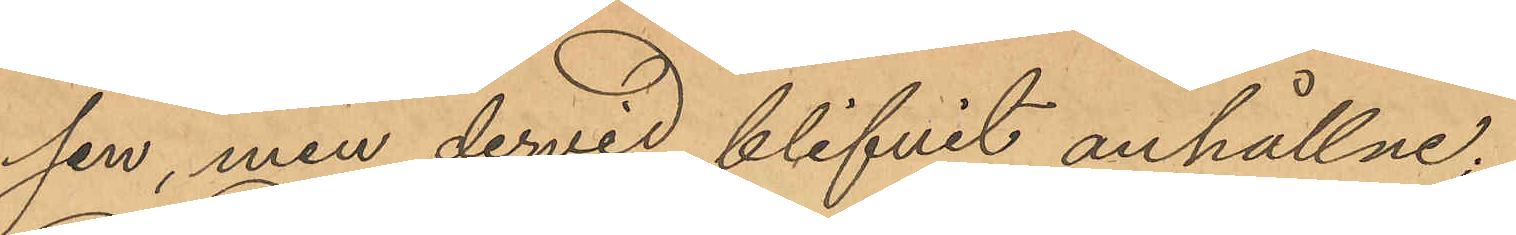sen, men dervid blifvit anhållne;
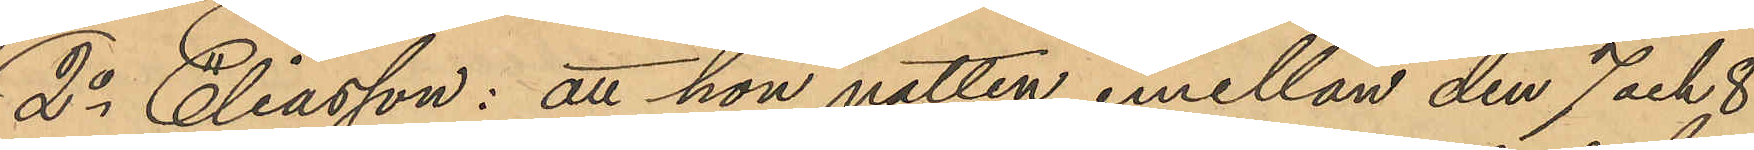2o Eliasson: att hon natten emellan den 7 och 8
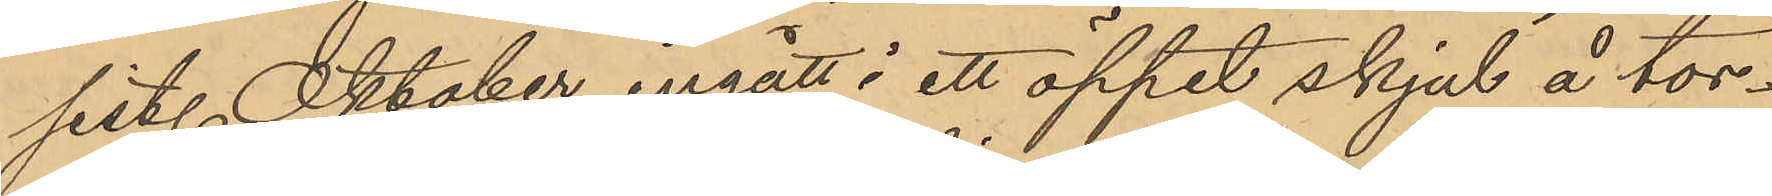sist. Oktober ingått i ett öppet skjul å tor¬
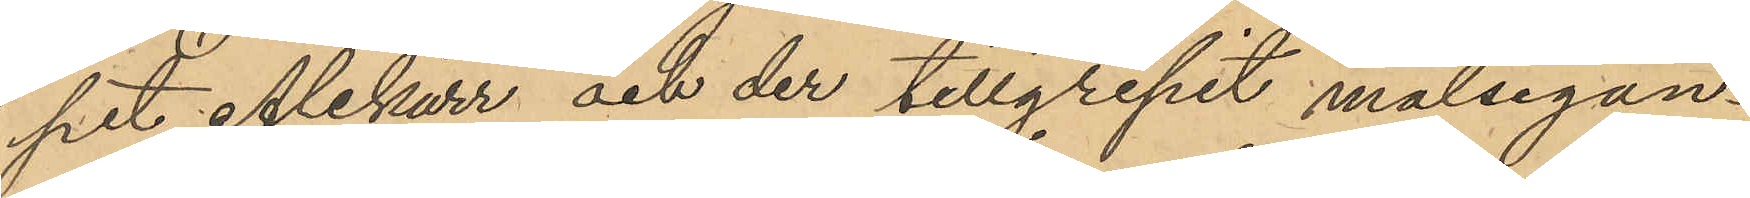pet Alekärr och der tillgripit målsegan¬
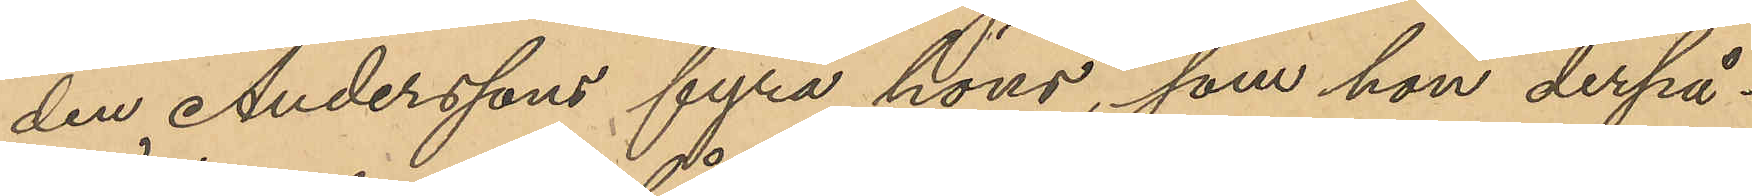den Anderssons fyra höns, som hon derpå¬
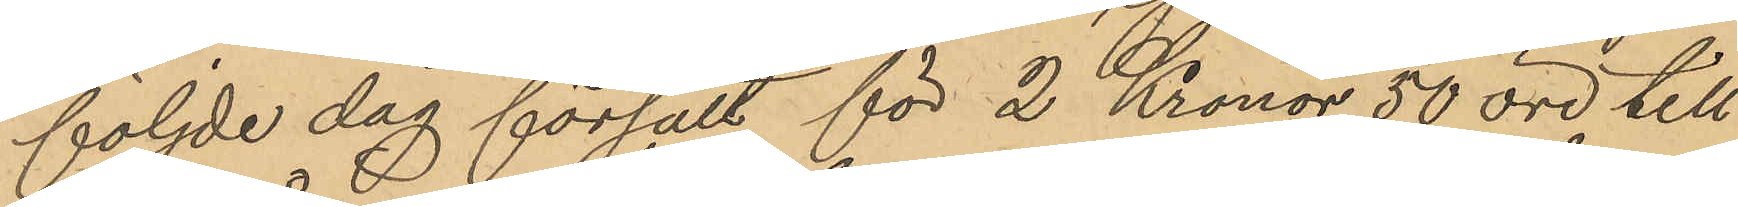följde dag försålt för 2 Kronor 50 öre till
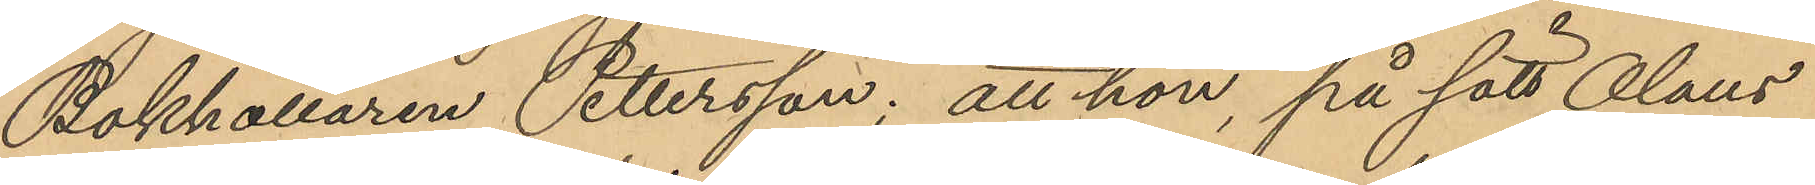Bokhållaren Pettersson; att hon, på sätt Olaus
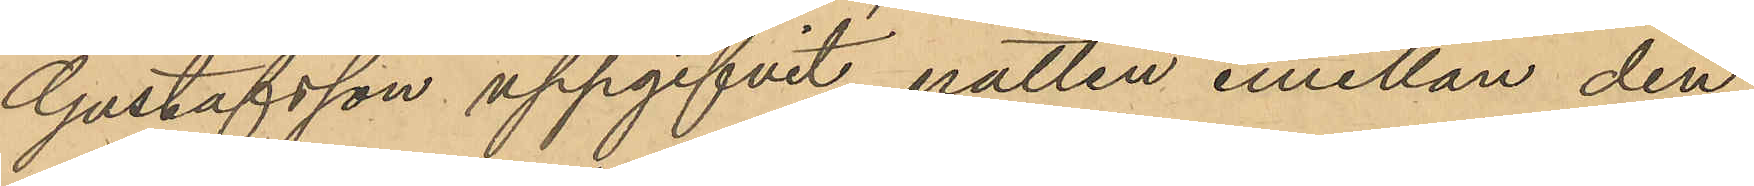Gustafsson uppgifvit, natten emellan den
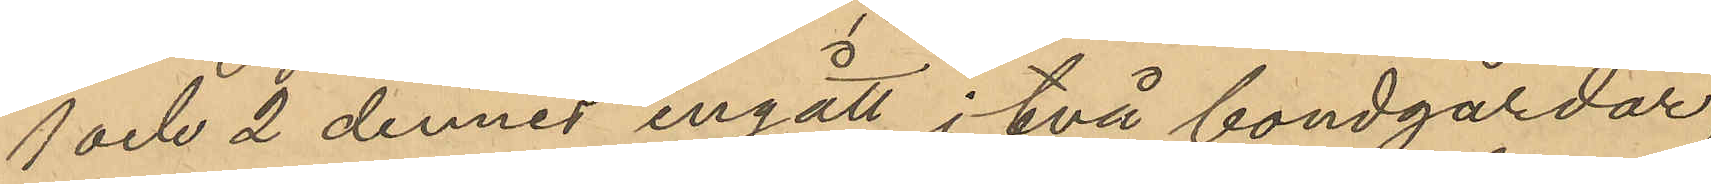1 och 2 dennes ingått i två bondgårdar
